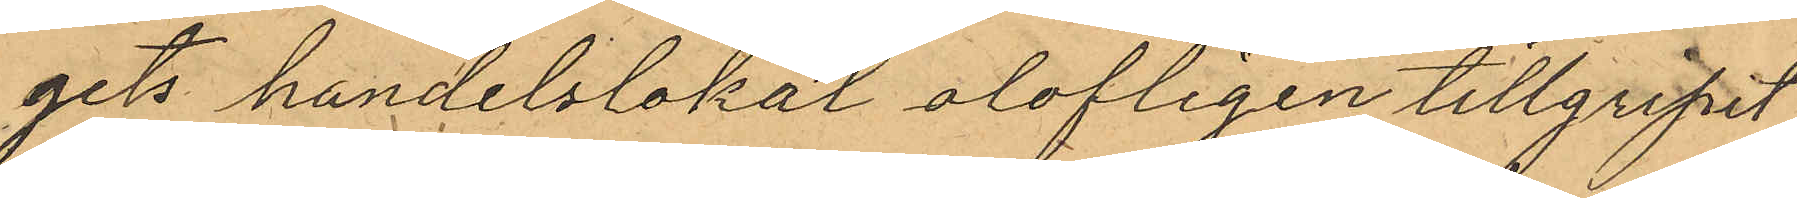gets handelslokal olofligen tillgripit
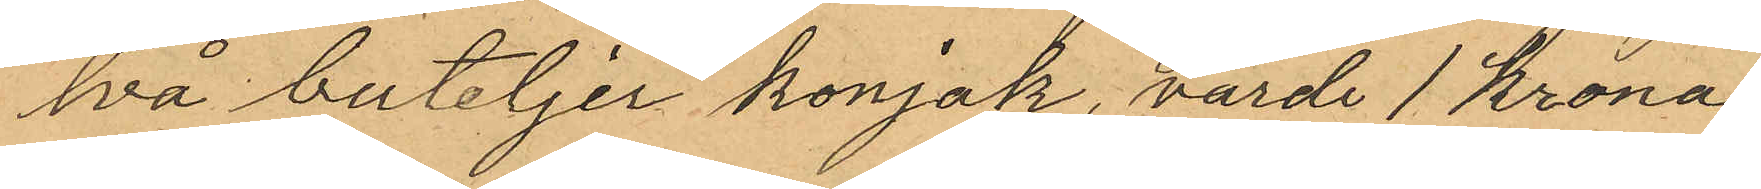två buteljer konjak, värde 1 krona
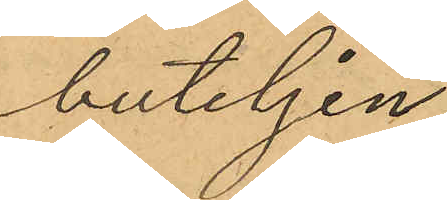buteljen
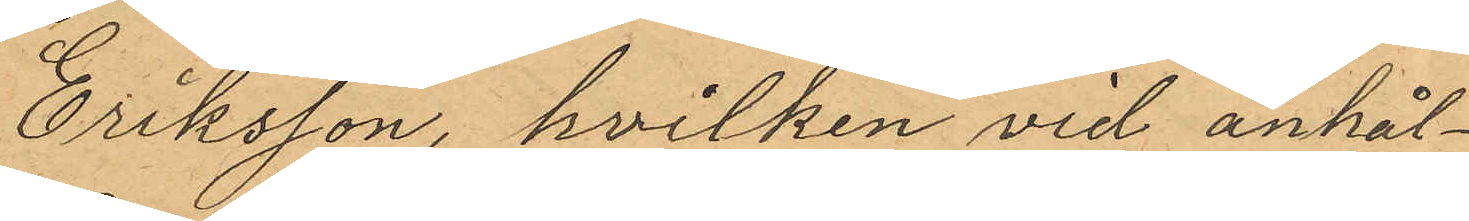Eriksson, hvilken vid anhål¬
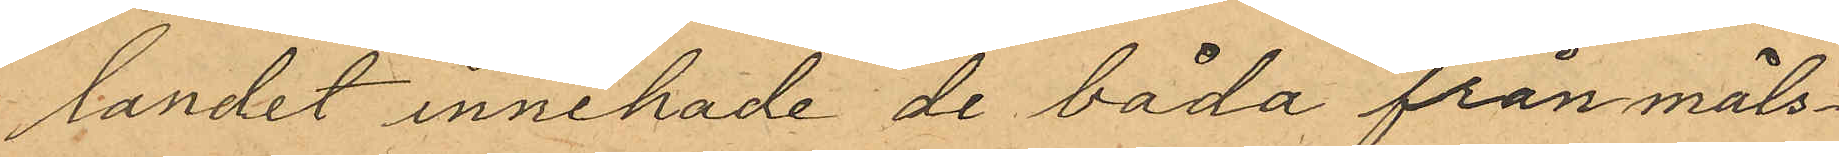landet innehade de båda från måls¬
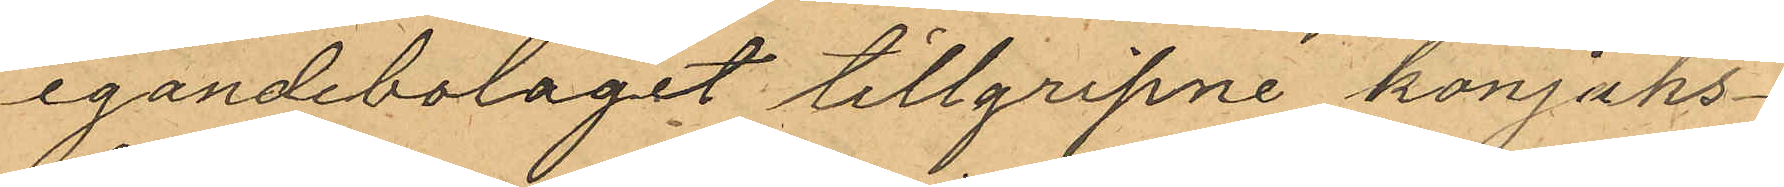egandebolaget tillgripne konjaks¬
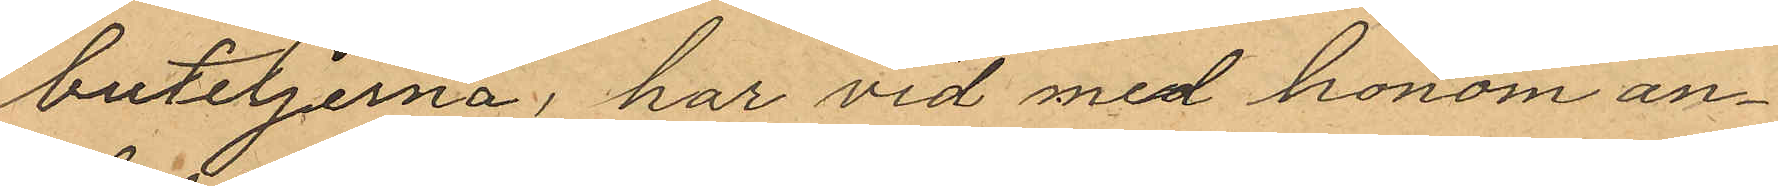buteljerna, har vid med honom an¬
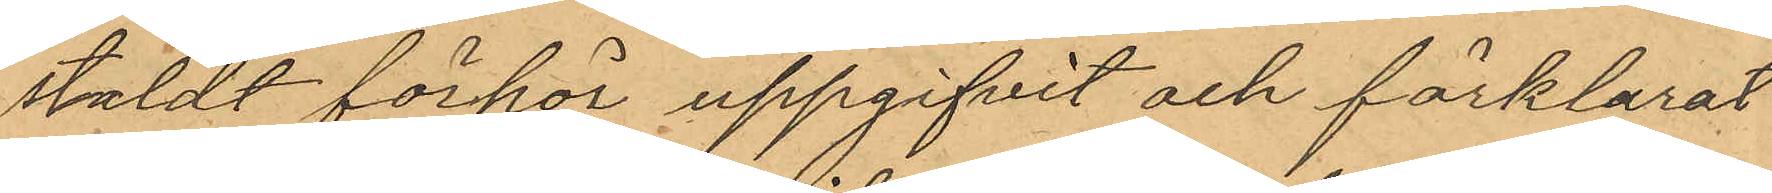stäldt förhör uppgifvit och förklarat
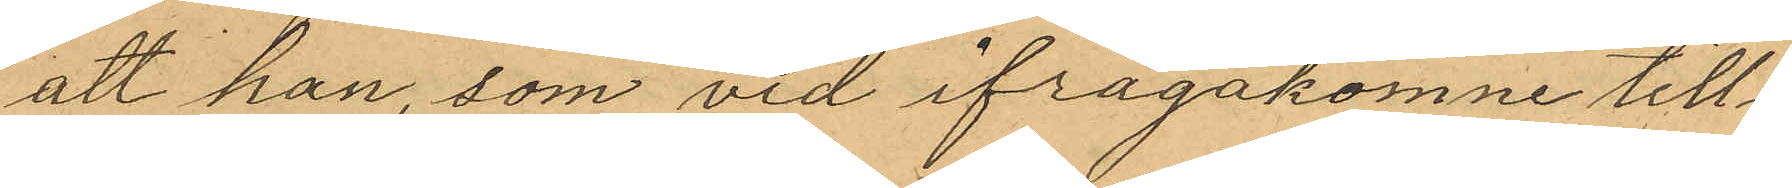att han som vid ifrågakomne till¬
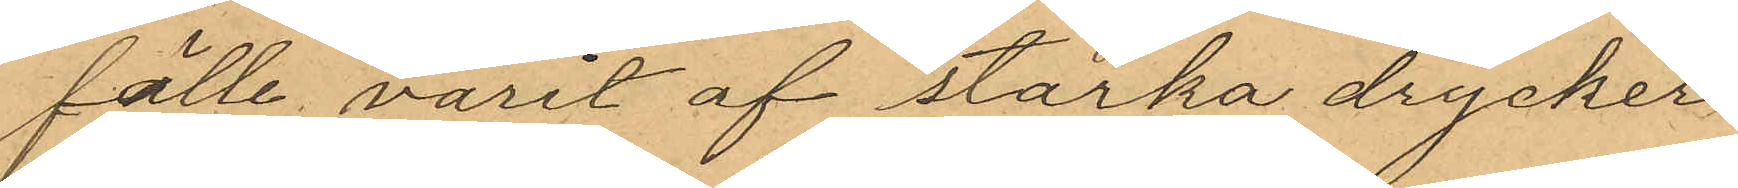fälle varit af starka drycker
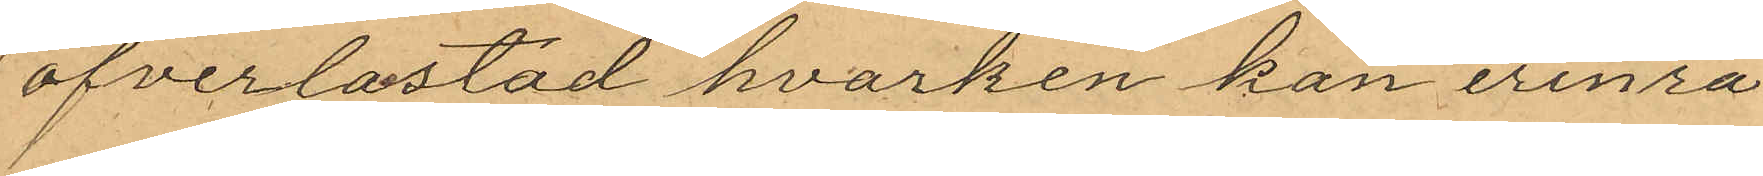öfverlastad hvarken kan erinra
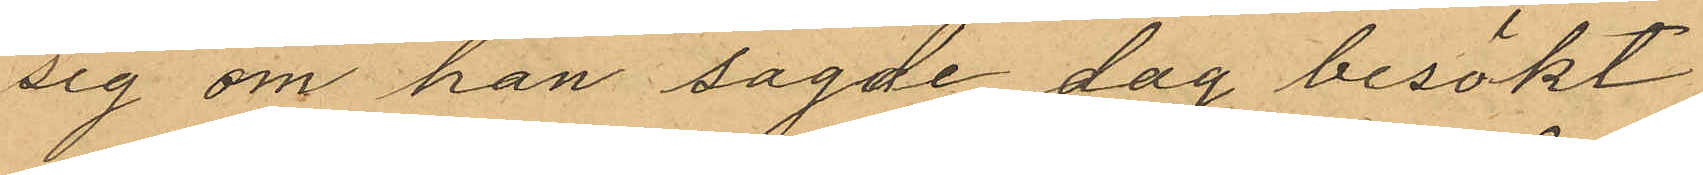sig om han sagde dag besökt
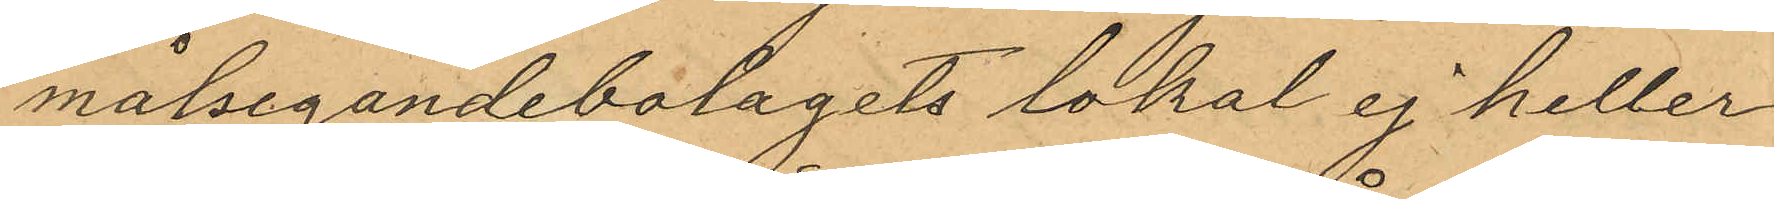målsegandebolagets lokal ej heller
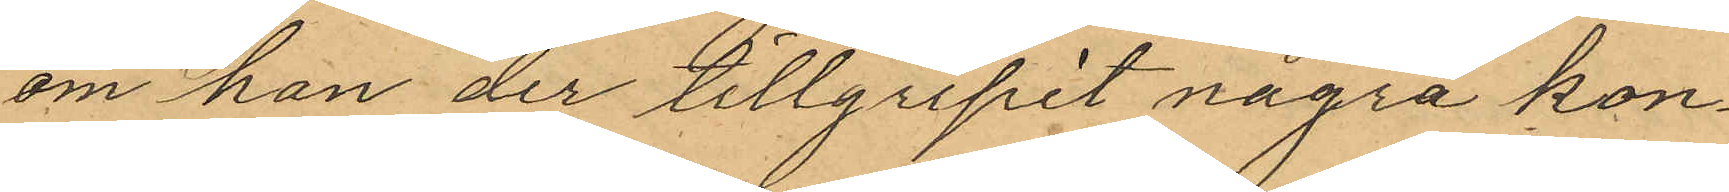om han der tillgripit några kon¬
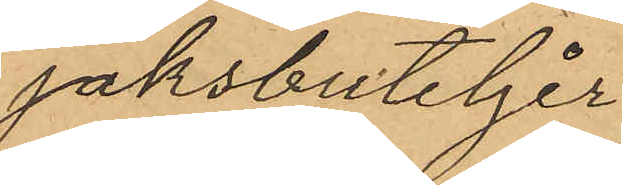jaksbuteljer
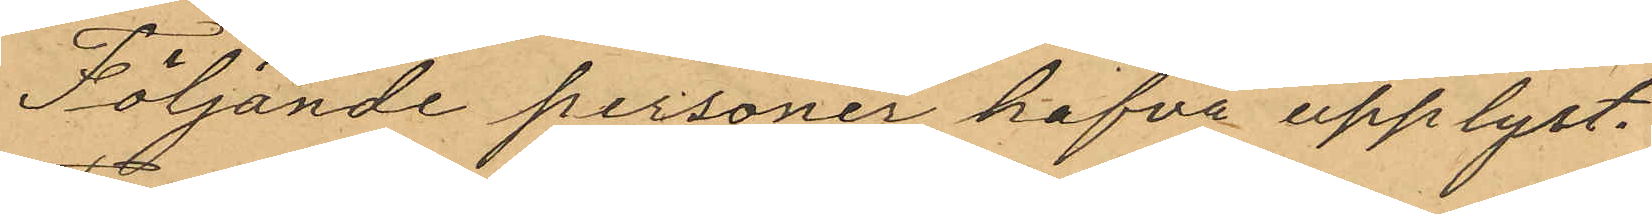Följande personer hafva upplyst.
